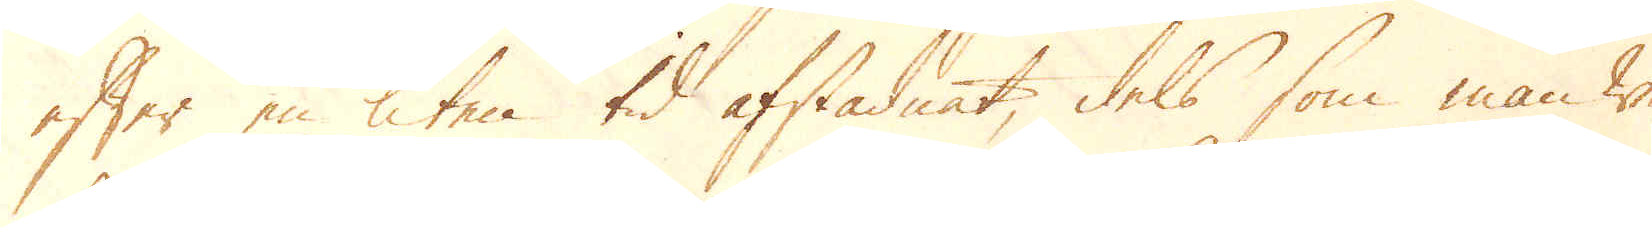efter en liten tid afstadnat, dels som man we-
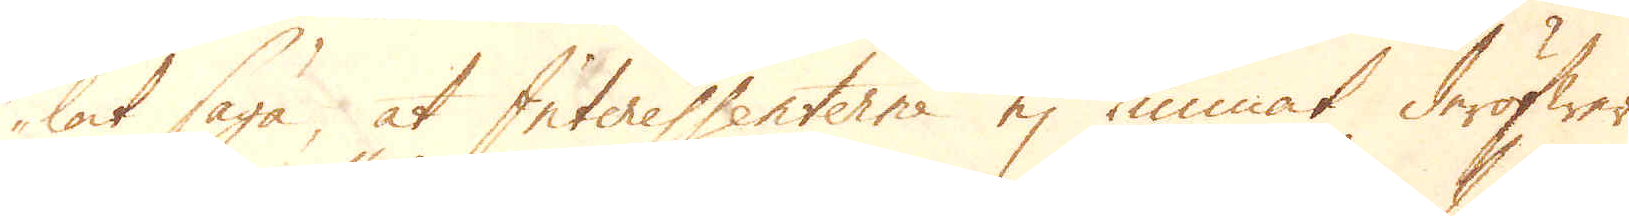lat säga, at Interessenterne ej kunnat deröfwer
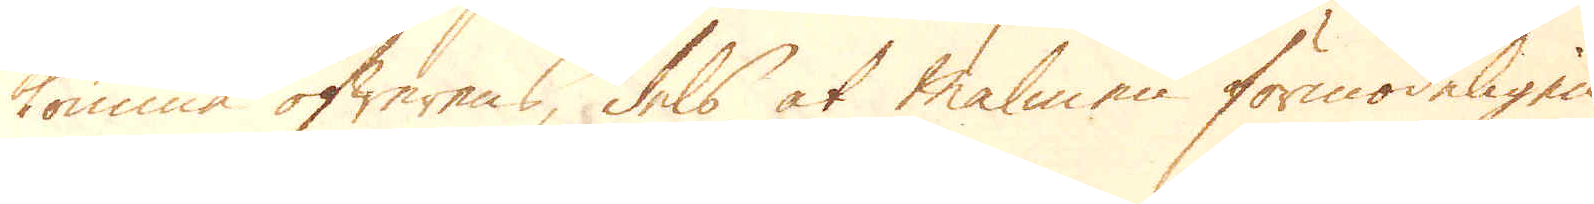komma öfwerens, dels at malmen förmodeligen
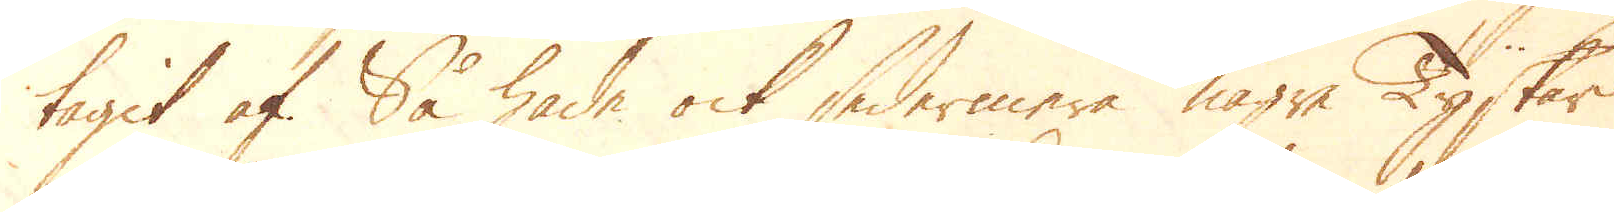tagit af. Så hade ock sedermera någre Tyskar
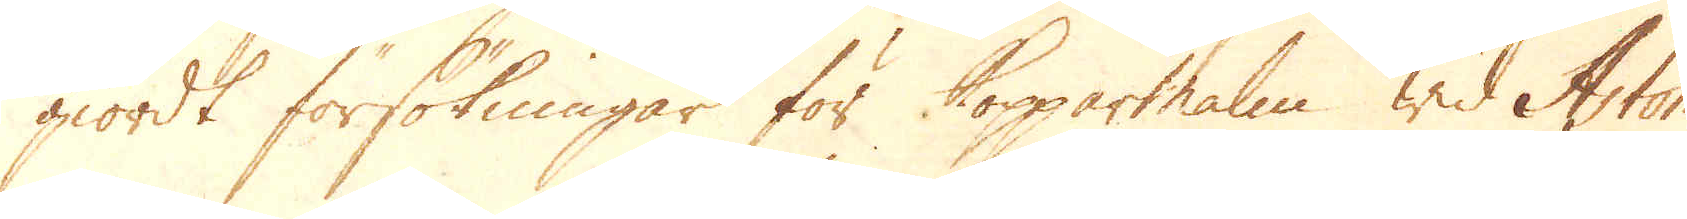giordt försökningar för Kopparmalm wid Aston-
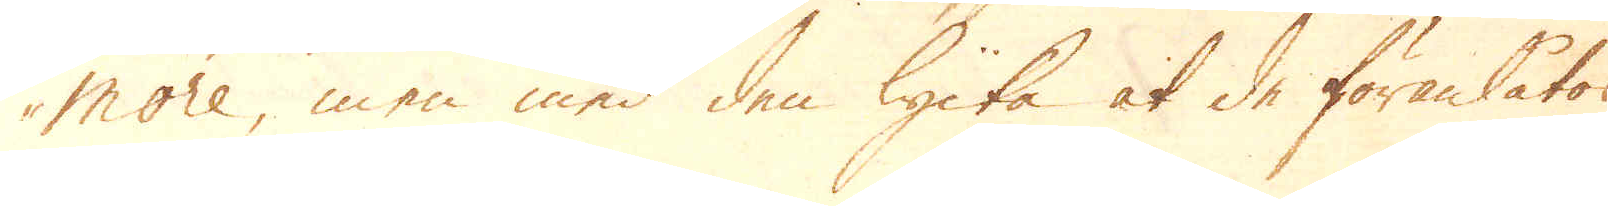more, men med den lycka at de föranlåtos
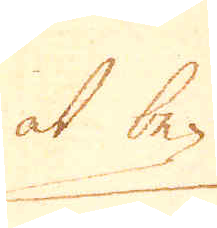at be-
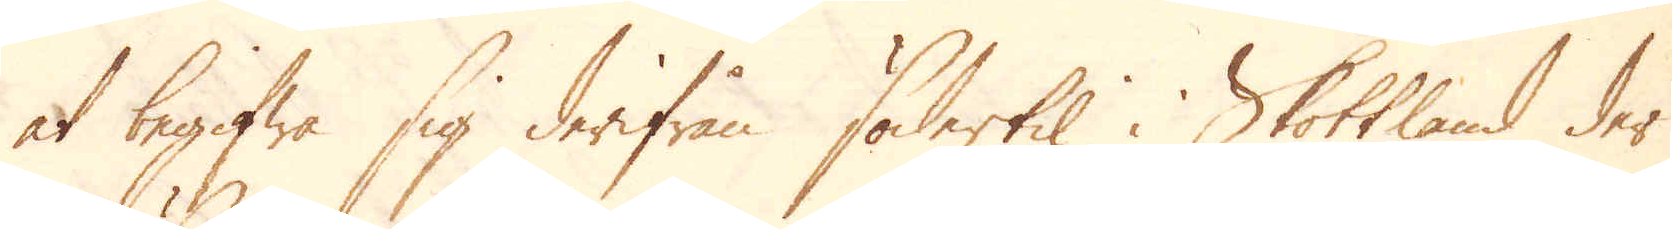at begifwa sig derifrån södertil i Skottland der
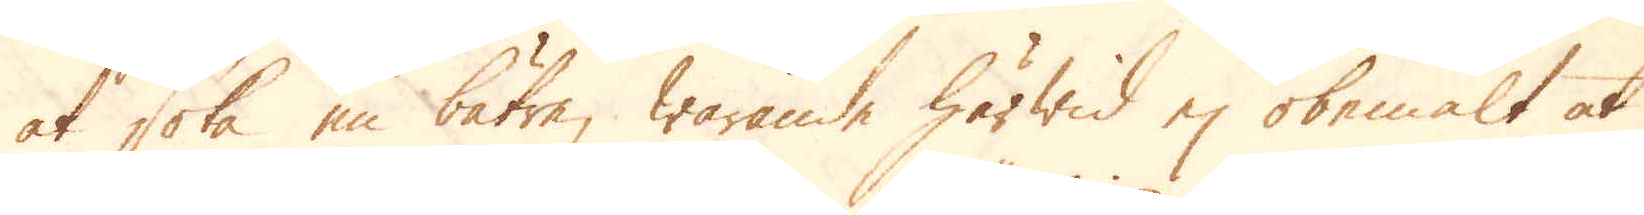at söka en bätre, warande härwid ej obemält at
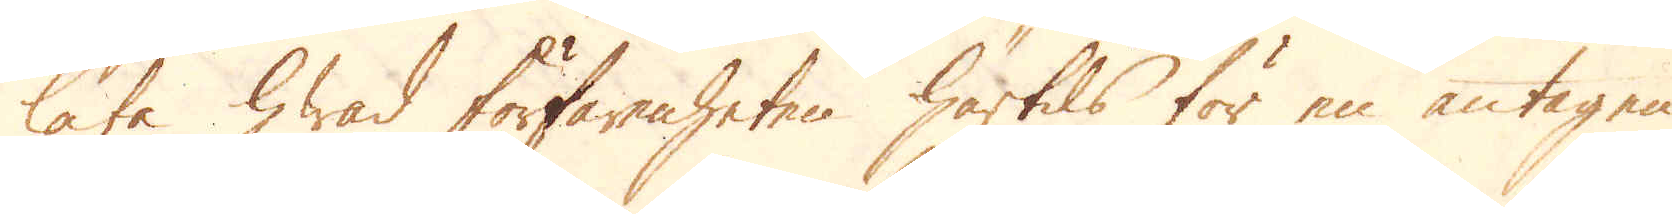låta hwad förfarenheten härtils för en antagen
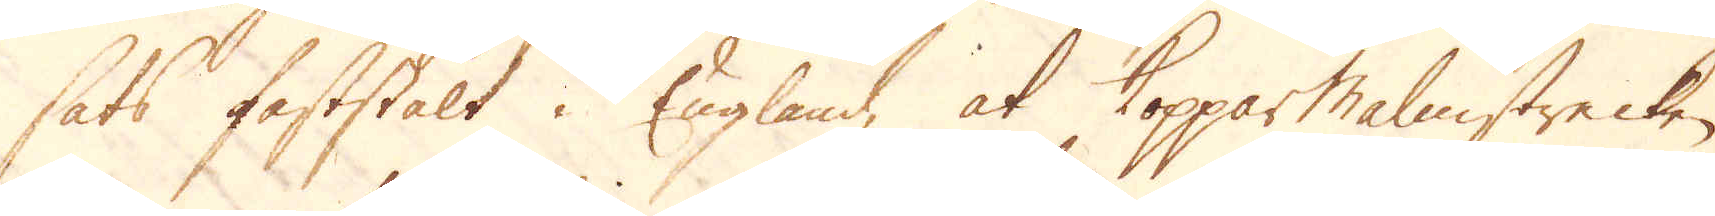sats faststält i England, at Kopparmalmstrecken
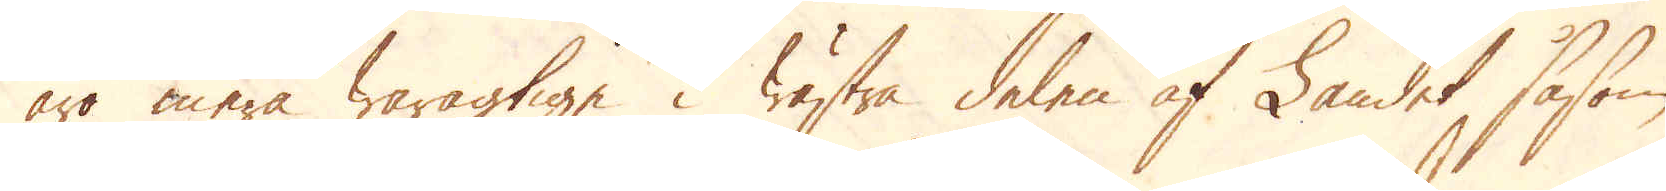äro mera waragtige i wästra delen af Landet, såsom
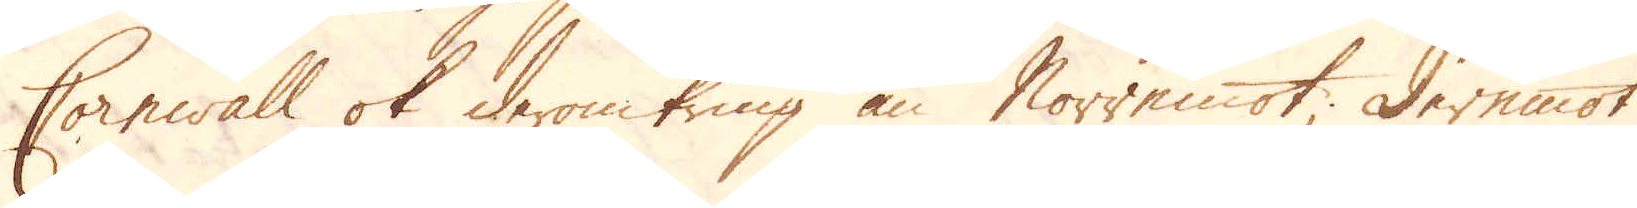Cornwall ok deromkring än Norremot; Deremot
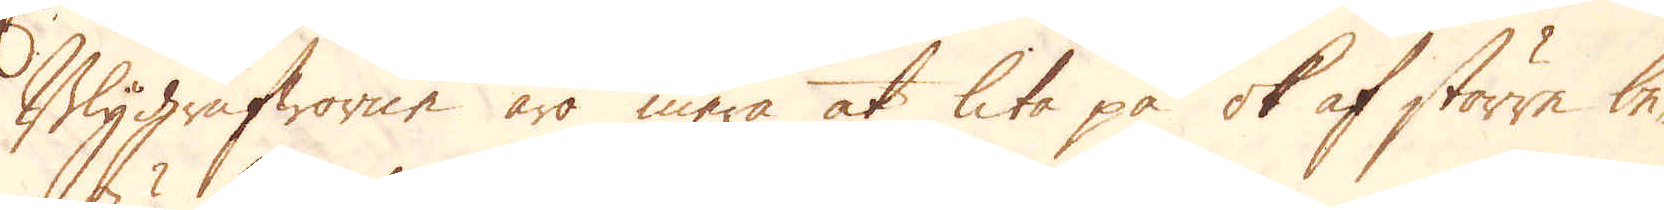Blygrufworne äro mera at lita på ok af större be-
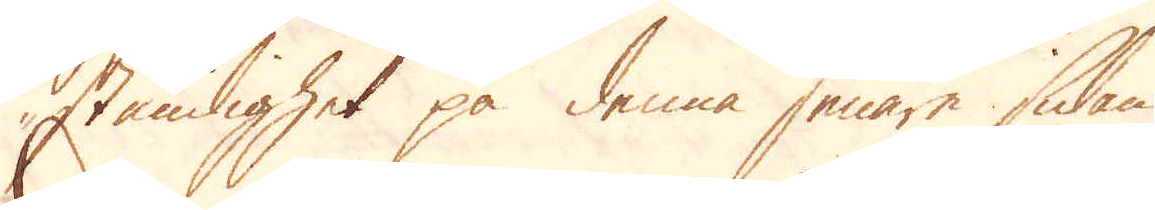ständighet på denna senare sidan.
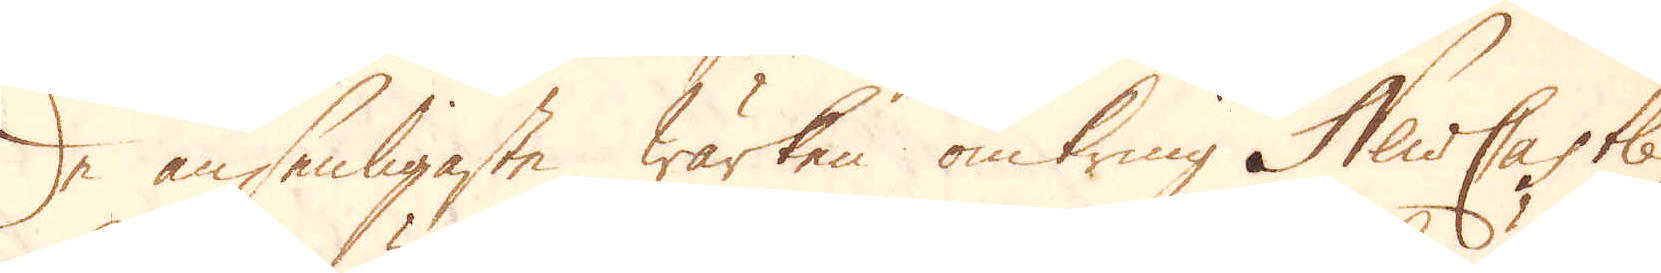De ansenligaste wärken omkring NewCastle,
